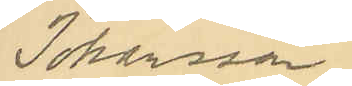Johansson.
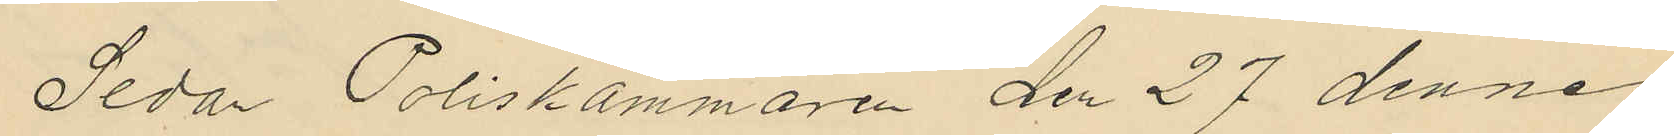Sedan Poliskammaren den 27 dennes
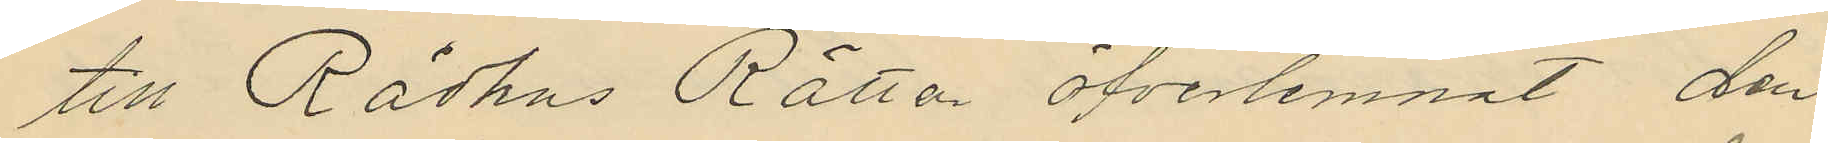till Rådhus Rätten öfverlemnat den
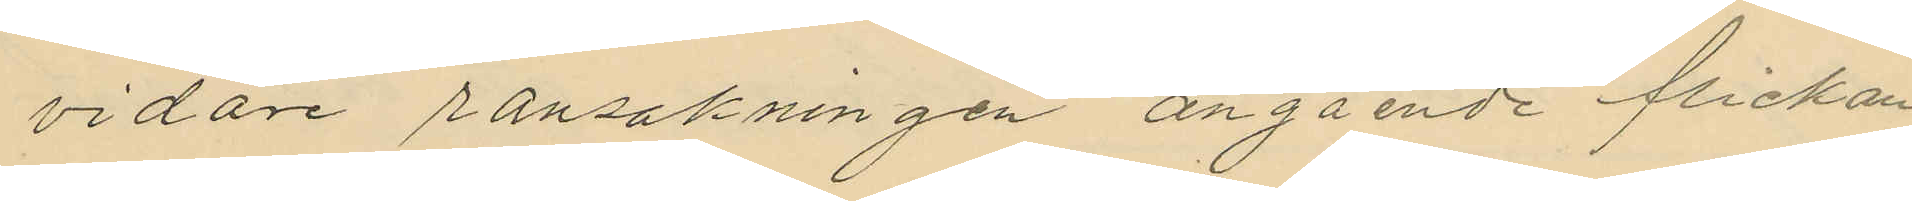vidare ransakningen angående flickan
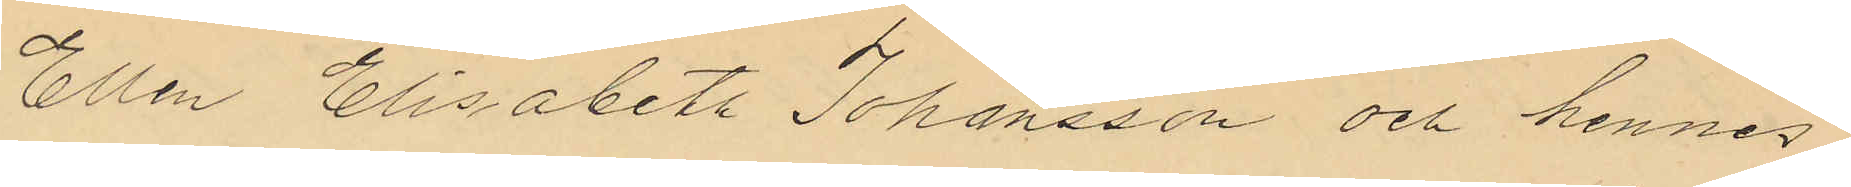Ellen Elisabeth Johansson och hennes
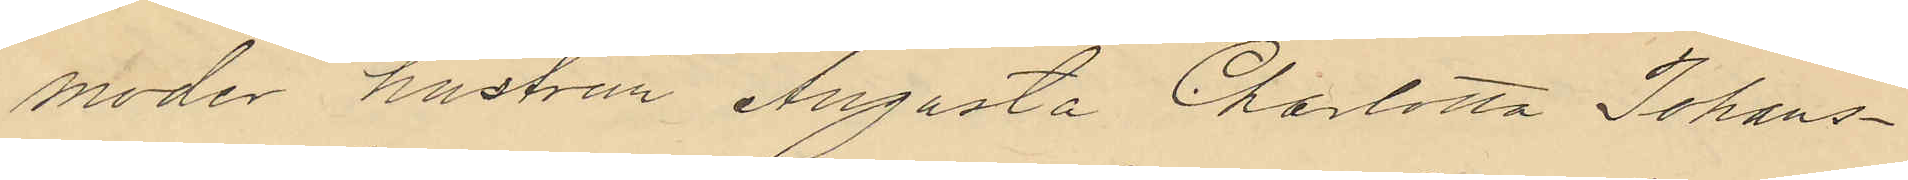moder hustrun Augusta Charlotta Johans¬
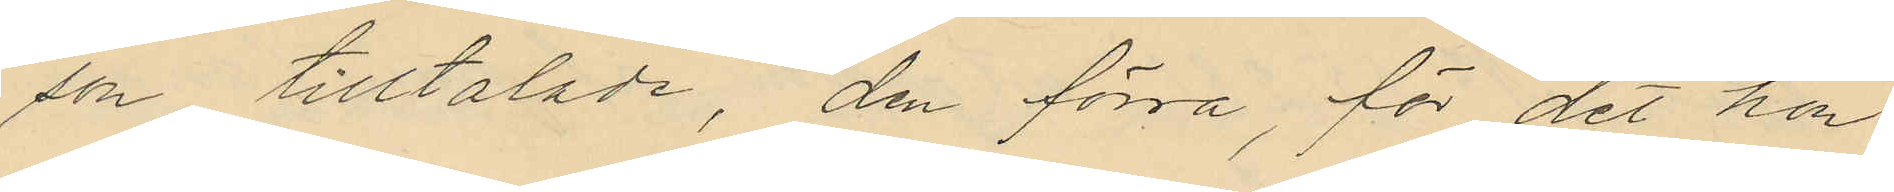son tilltalade, den förra, för det hon
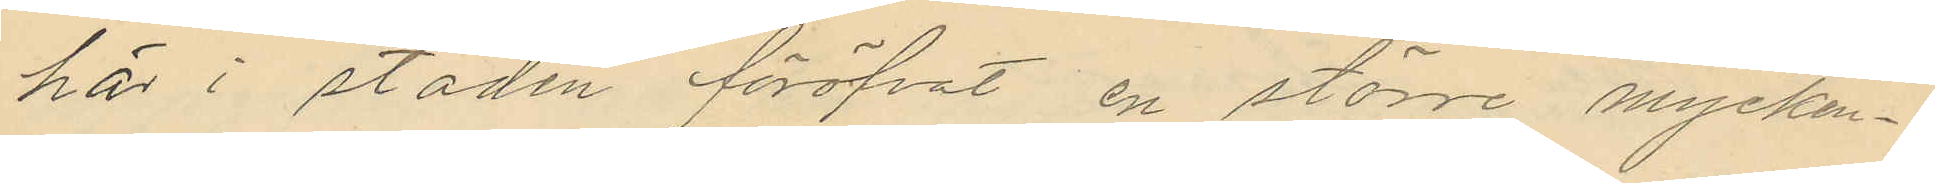här i staden föröfvat en större mycken¬
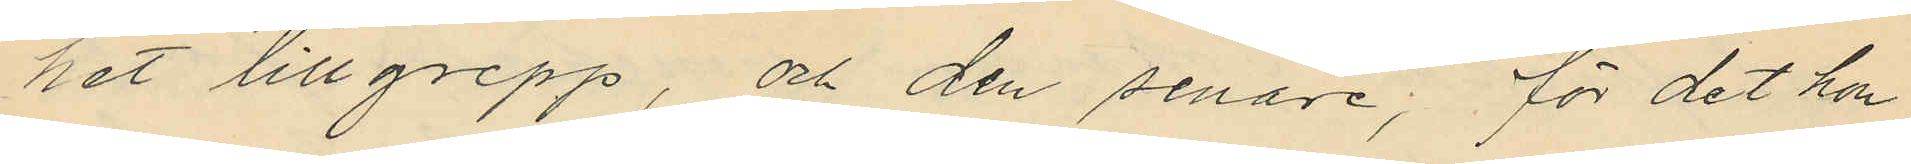het tillgrepp; och den senare; för det hon
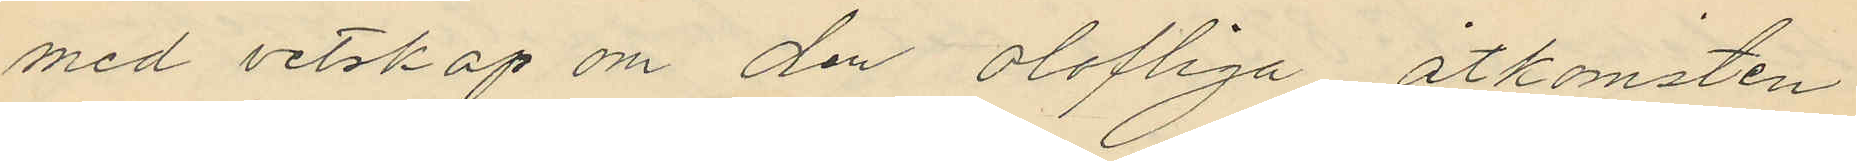med vetskap om den olofliga åtkomsten
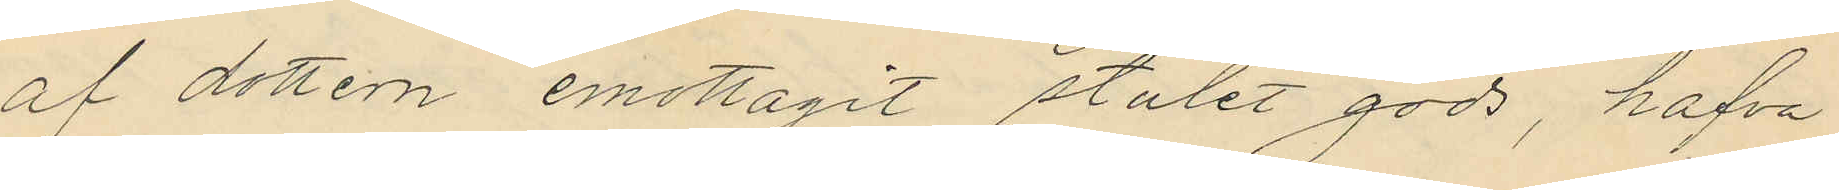af dottern emottagit stulet gods, hafva
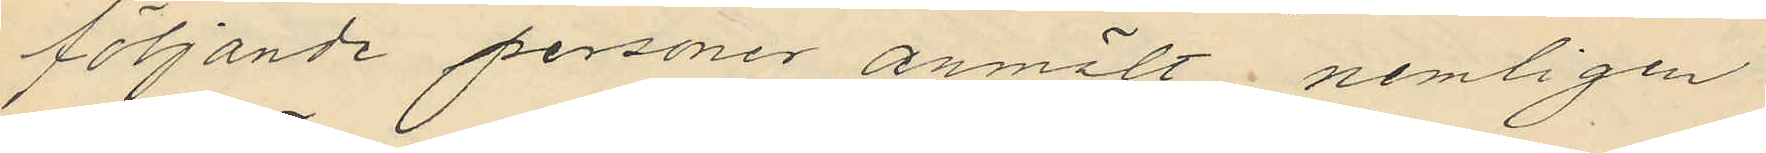följande personer anmält nemligen
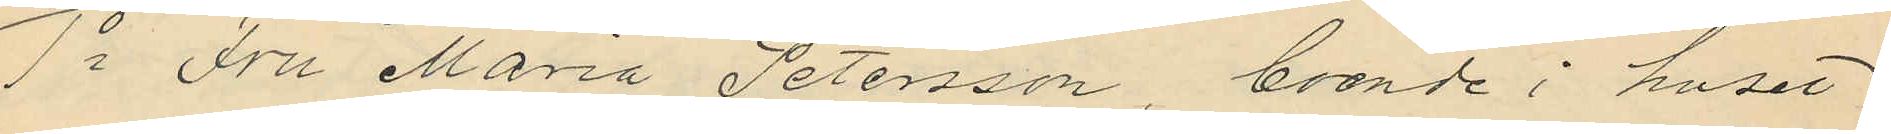1o Fru Maria Petersson, boende i huset
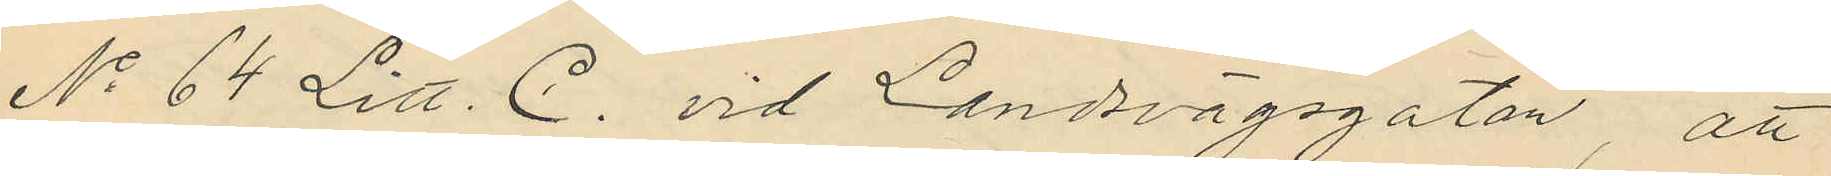No 64 Litt. C. vid Landsvägsgatan, att
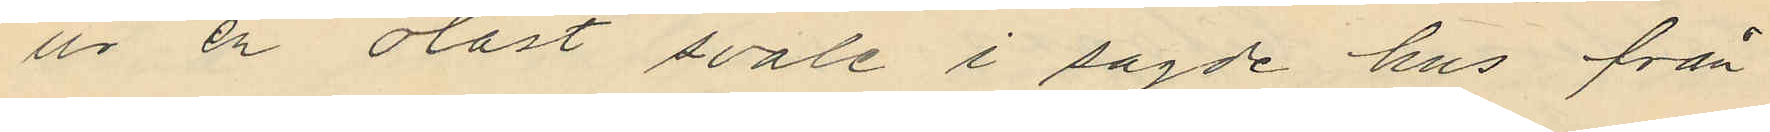ur en olåst svale i sagde hus från
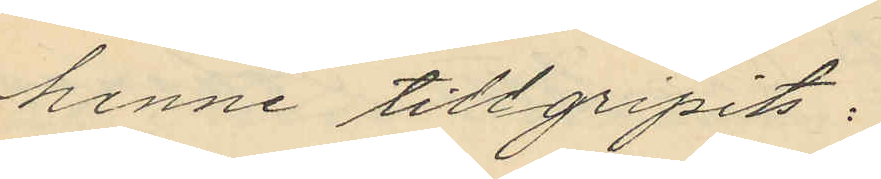henne tillgripits:
